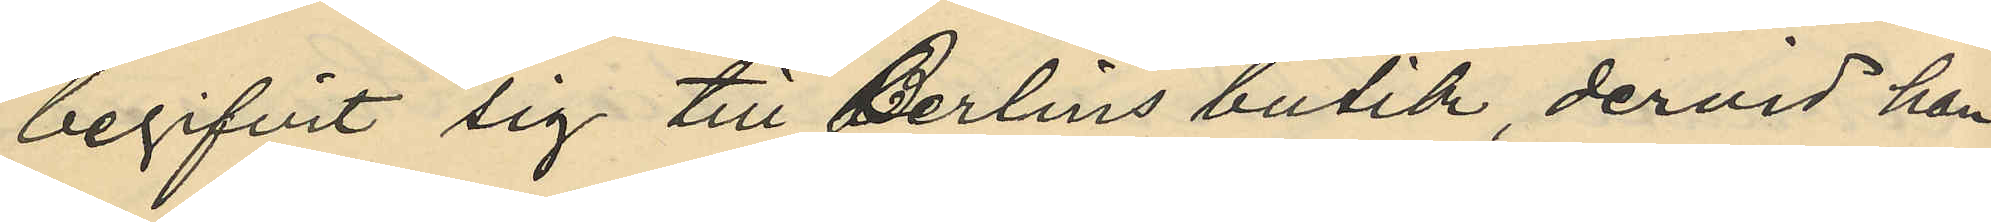begifvit sig till Berlins butik, dervid han
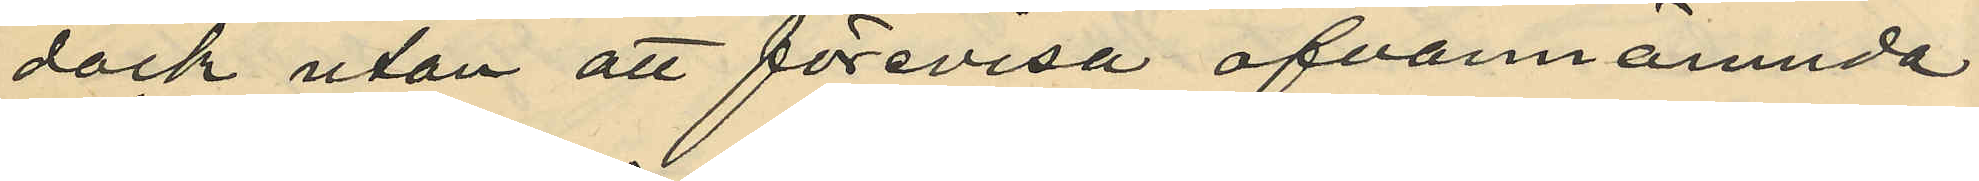dock utan att förevisa ofvannämnde
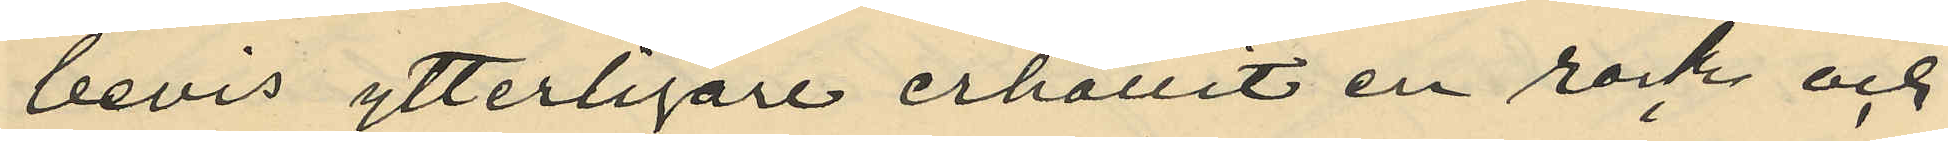bevis ytterligare erhållit en rock och
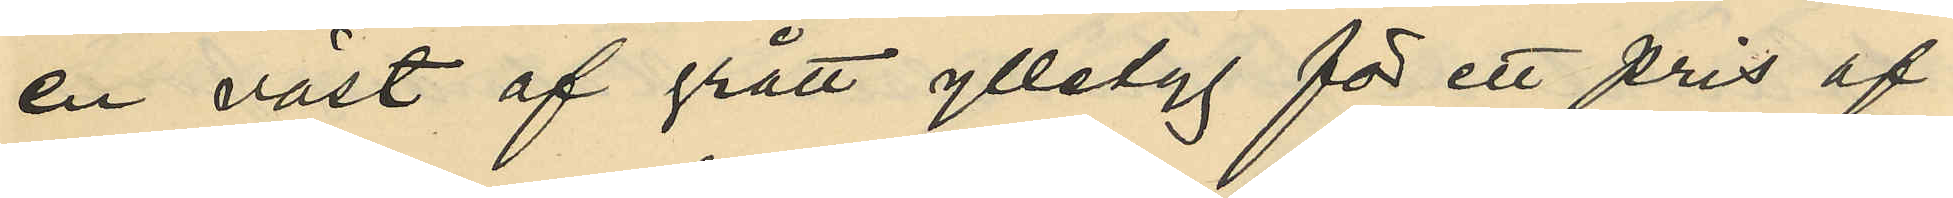en väst af grått ylletyg för ett pris af
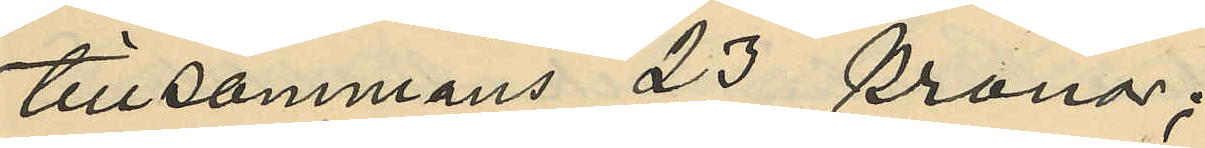tillsammans 23 kronor;
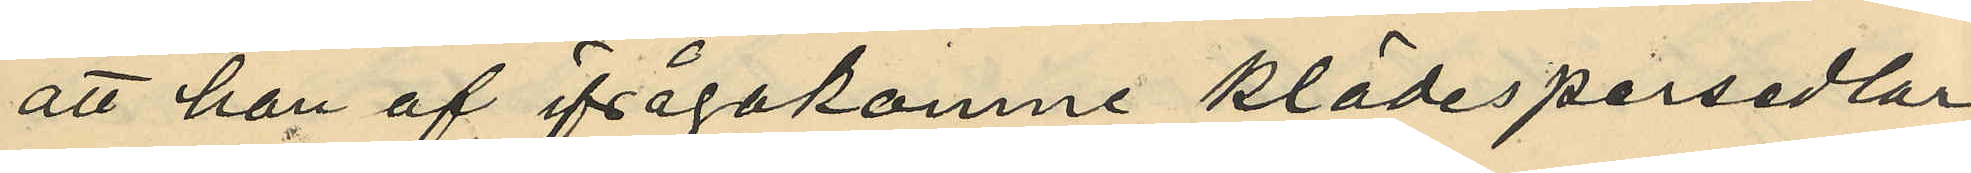att han af ifrågakomne klädespersedlar
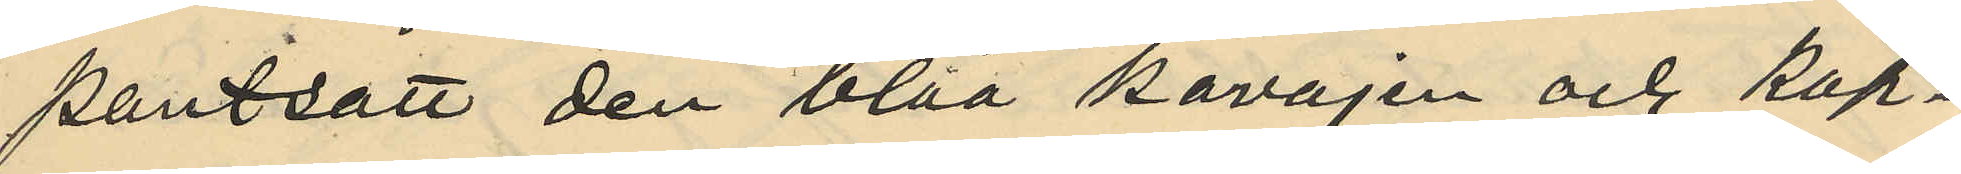pantsatt den blåa kavajen och kap¬
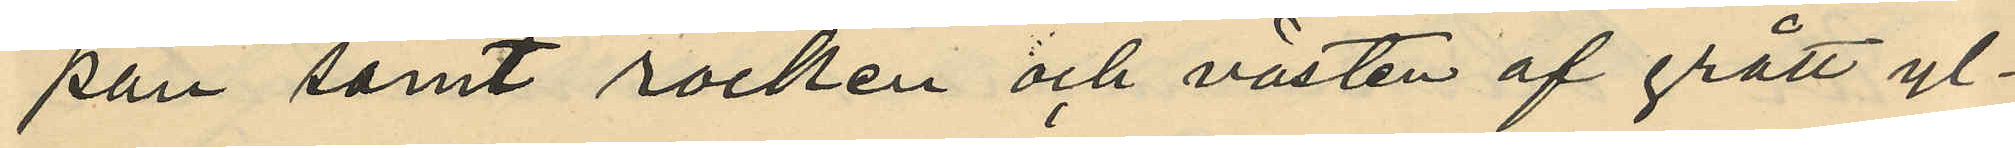pan samt rocken och västen af grått yl¬
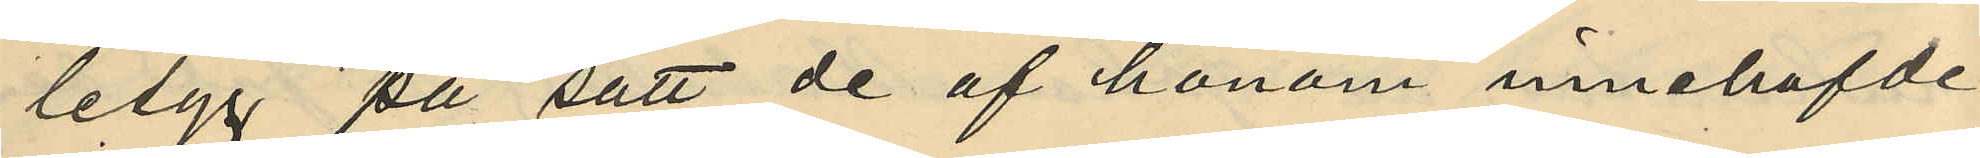letyg på sätt de af honom innehafde
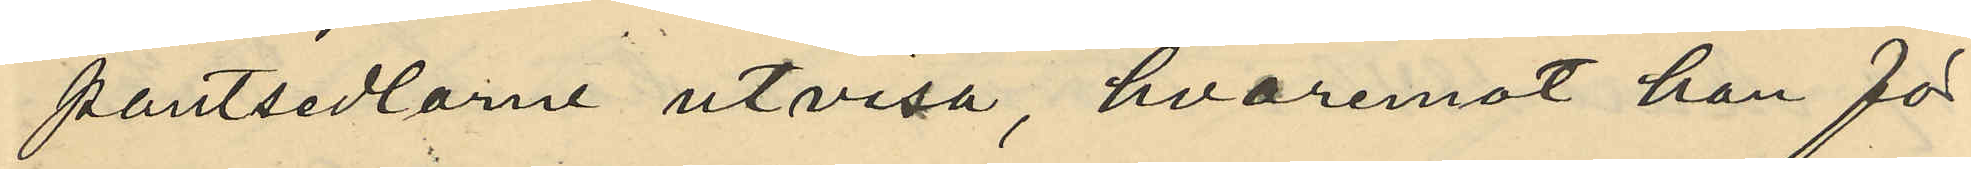pantsedlarne utvisa, hvaremot han för
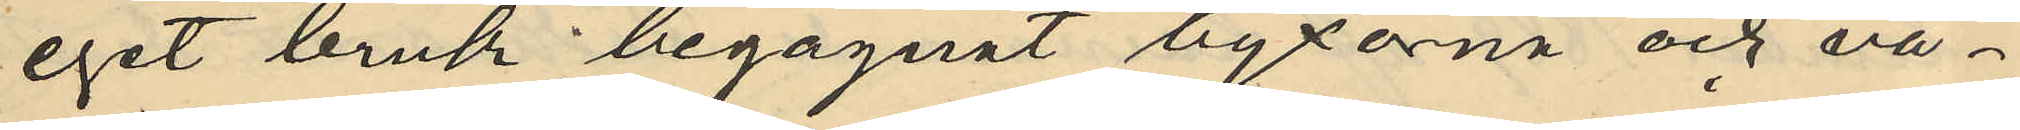eget bruk begagnat byxorna och vä¬
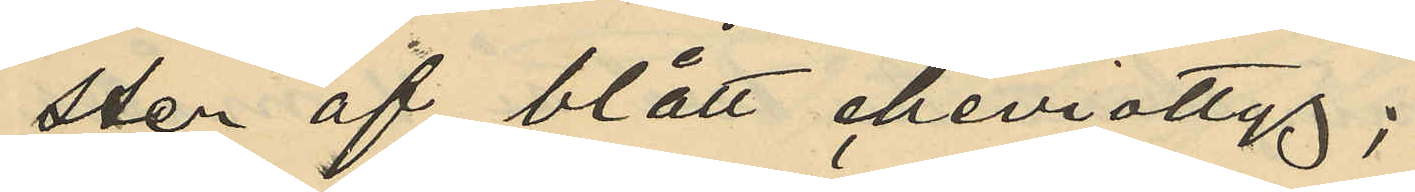sten af blått cheviottyg;
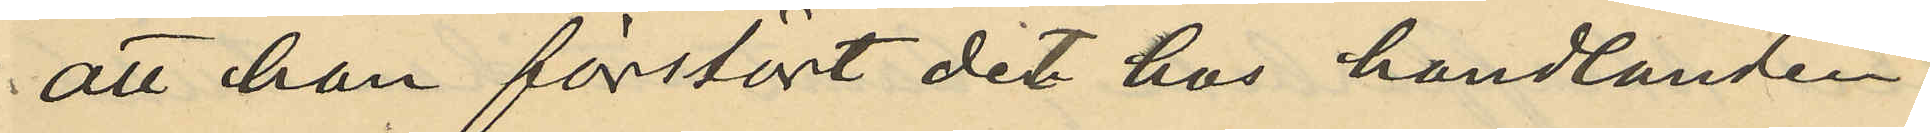att han förstört det hos handlanden
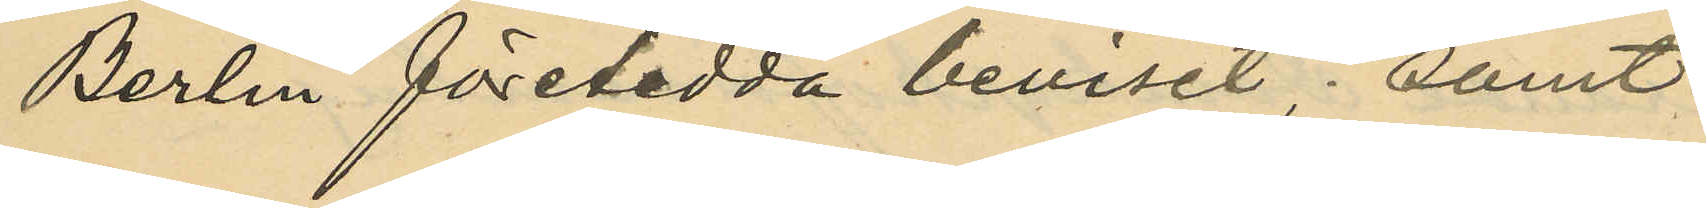Berlin företedda beviset; samt
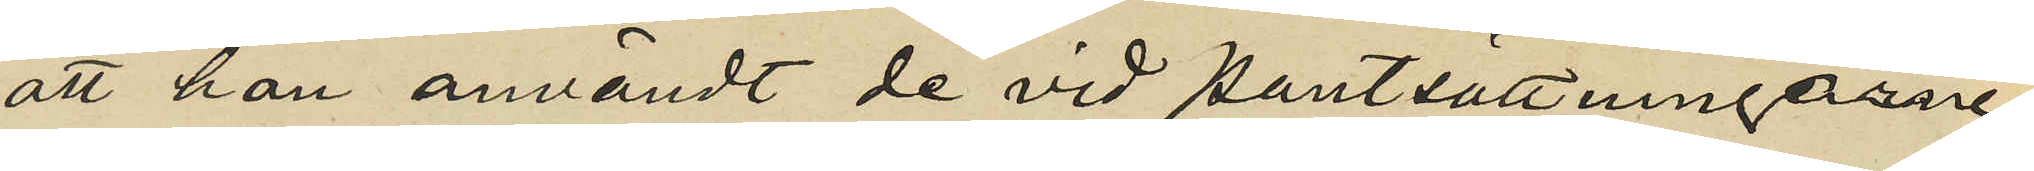att han användt de vid pantsättningarne
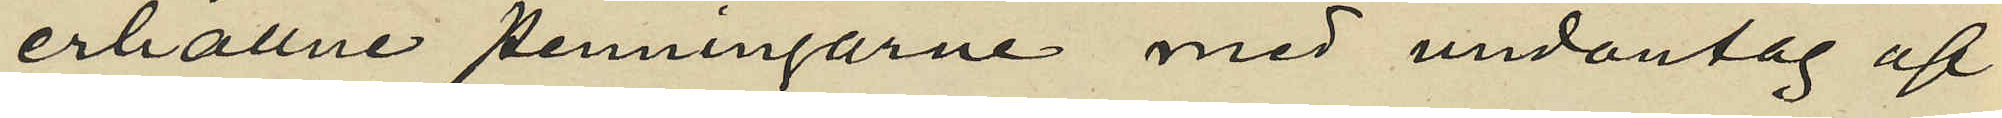erhållne penningarne med undantag af
